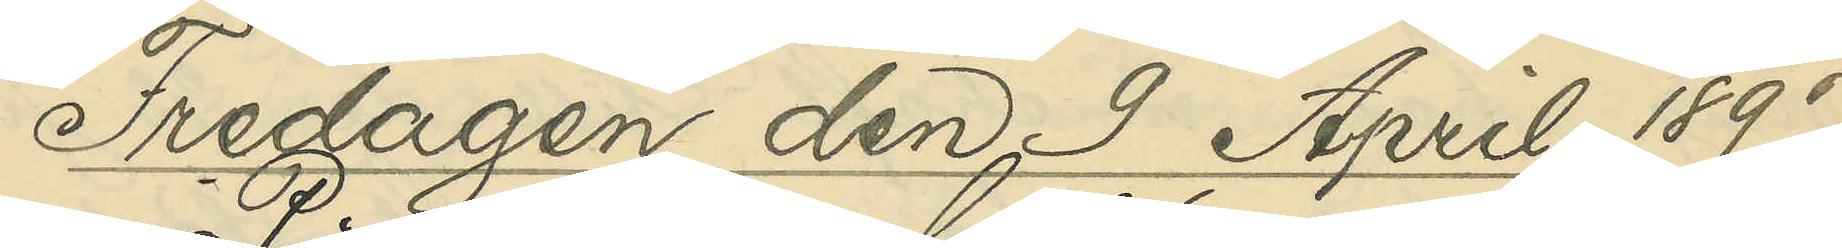Fredagen den 9 April 1897.
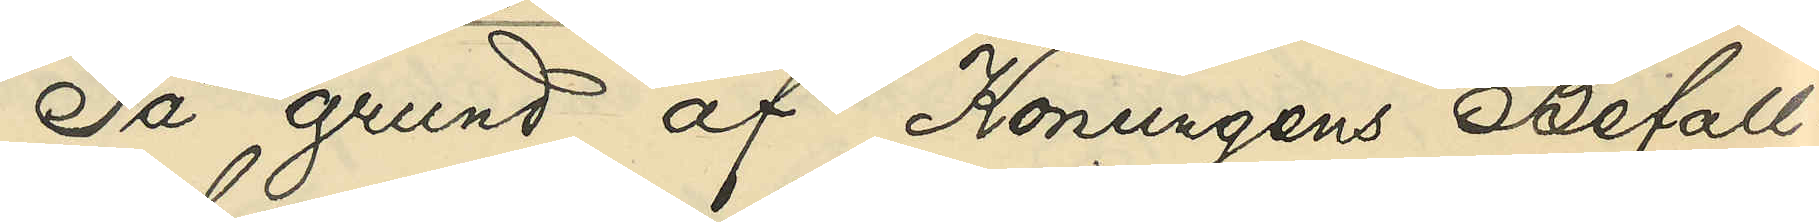på grund af Konungens Befall¬
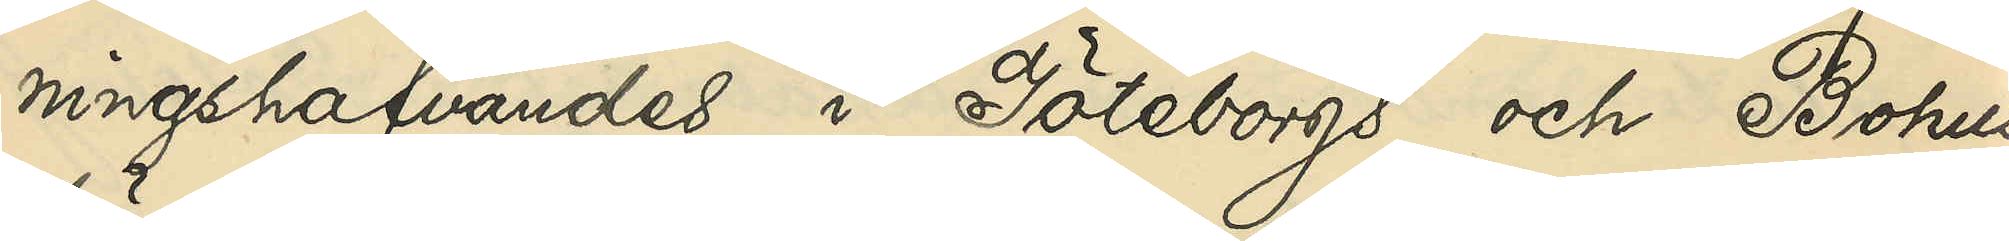ningshafvandes i Göteborgs och Bohus
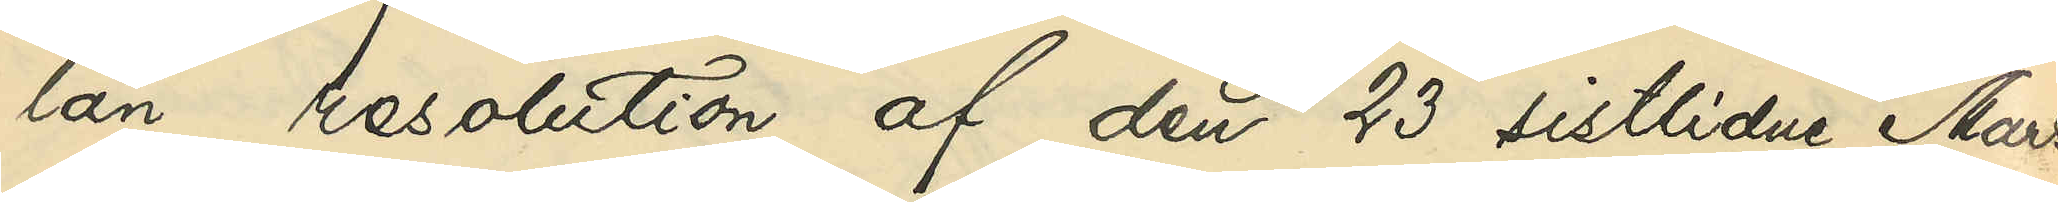län resolution af den 23 sistlidne Mars,
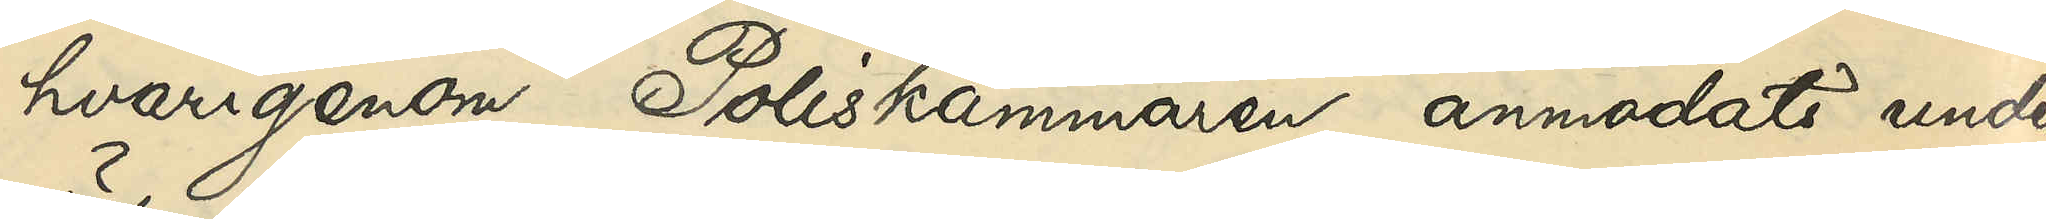hvarigenom Poliskammaren anmodats unde¬
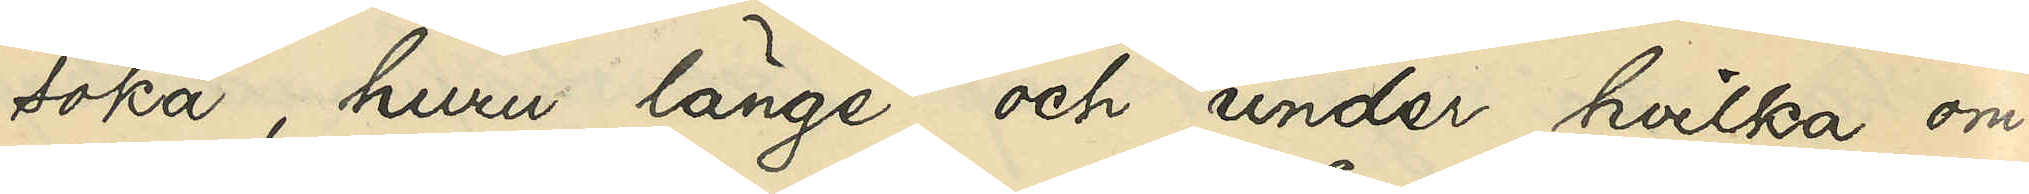söka, huru länge och under hvilka om¬
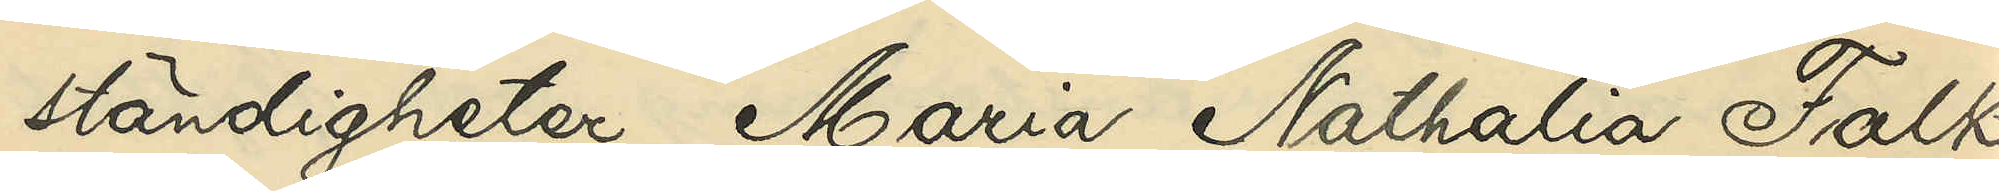ständigheter Maria Nathalia Falk
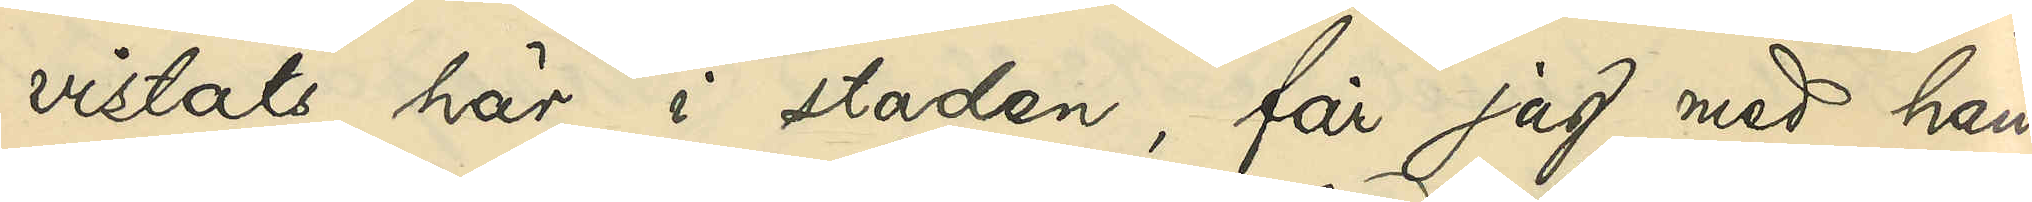vistats här i staden, får jag med hän¬
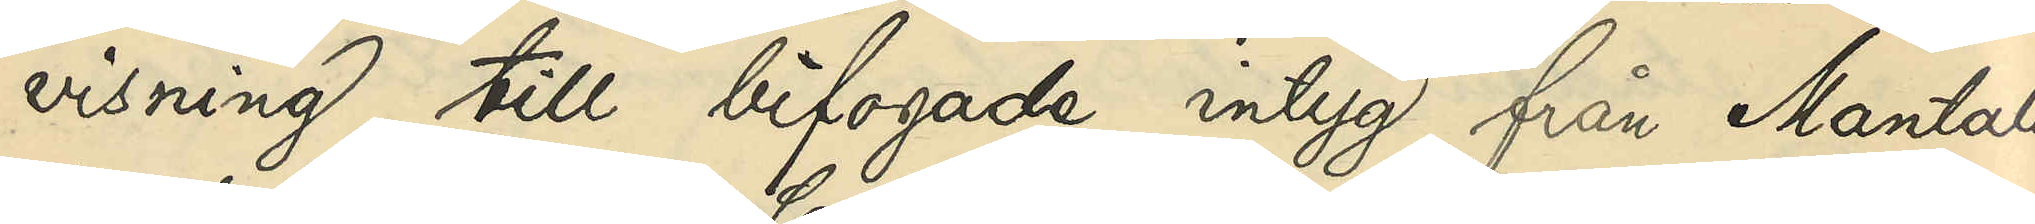visning till bifogade intyg från Mantals¬
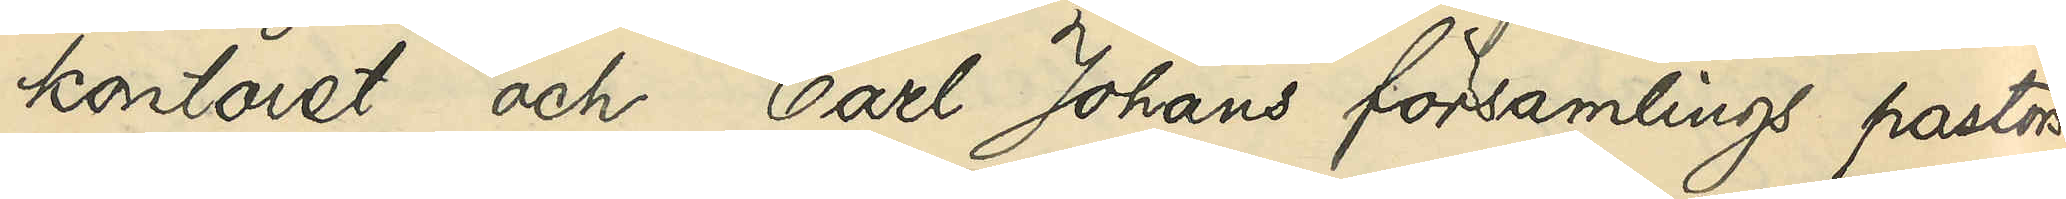kontoret och Carl Johans församlings pastors¬
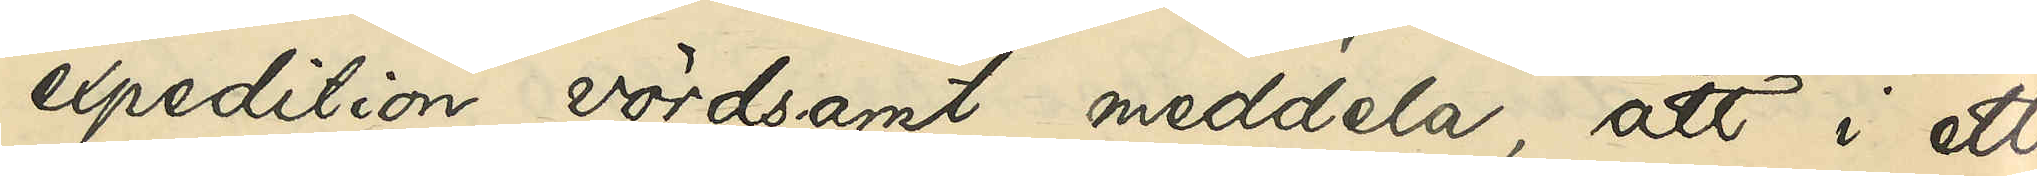expedition vördsamt meddela, att i ett
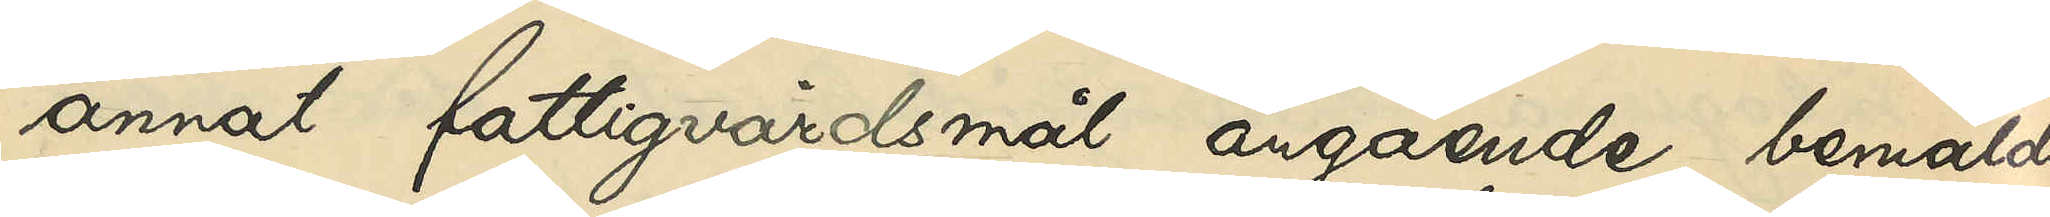annat fattigvårdsmål angående bemälda
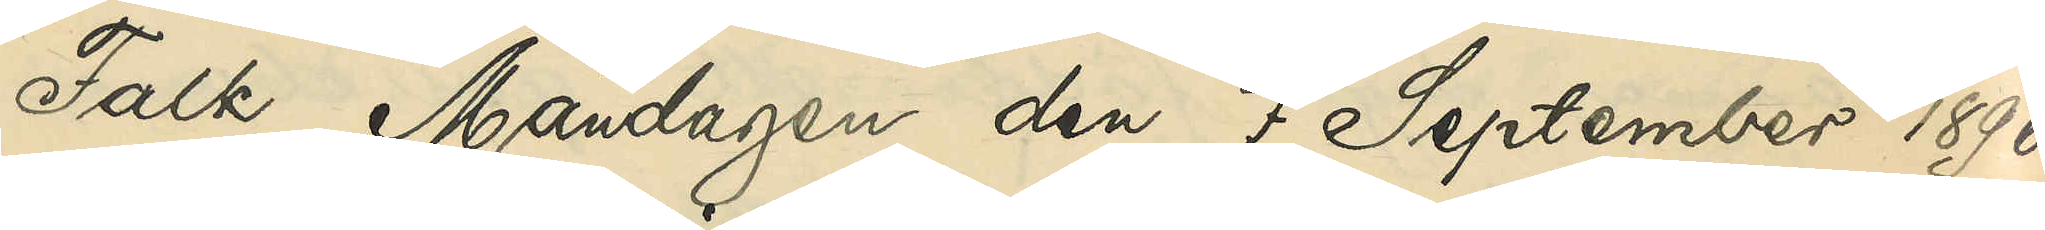Falk Måndagen den 7 September 1896
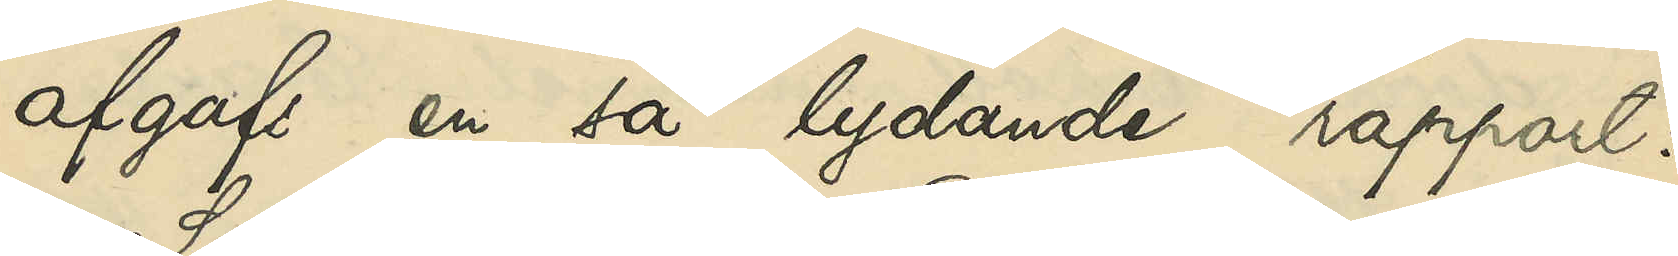afgafs en så lydande rapport:
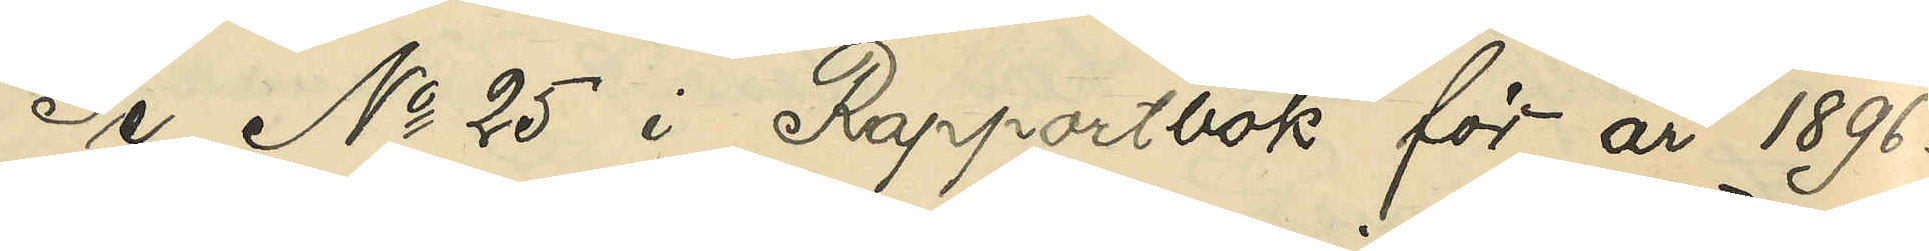Se No 25 i Rapportbok för år 1896.
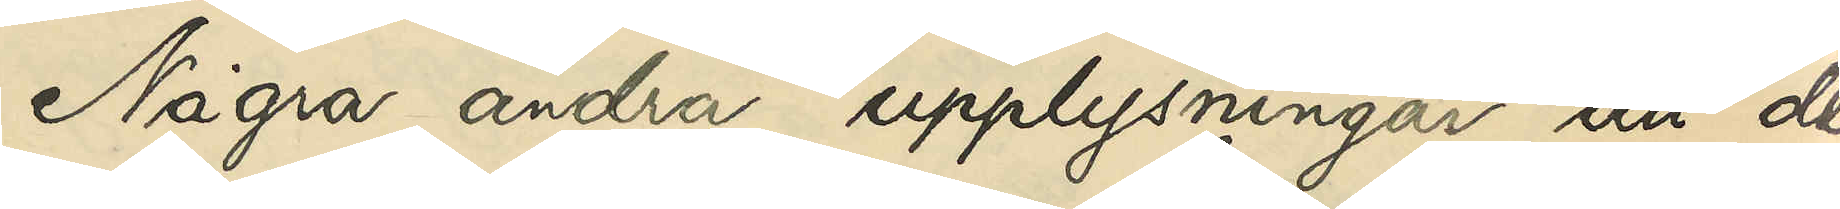Några andra upplysningar än de
